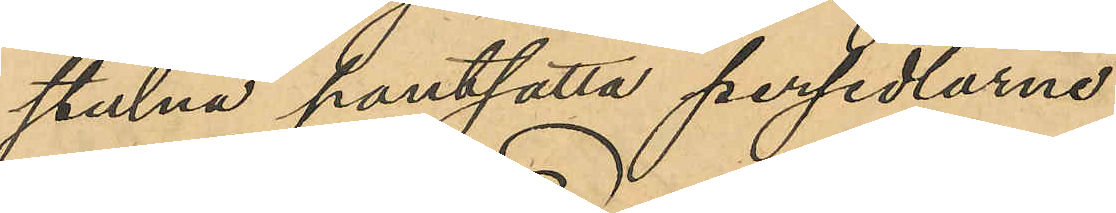stulna pantsatta persedlarne.
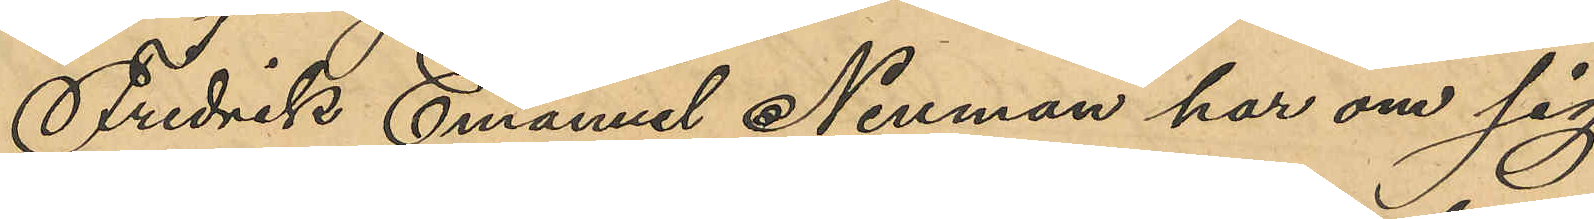Fredrik Emanuel Neuman har om sig
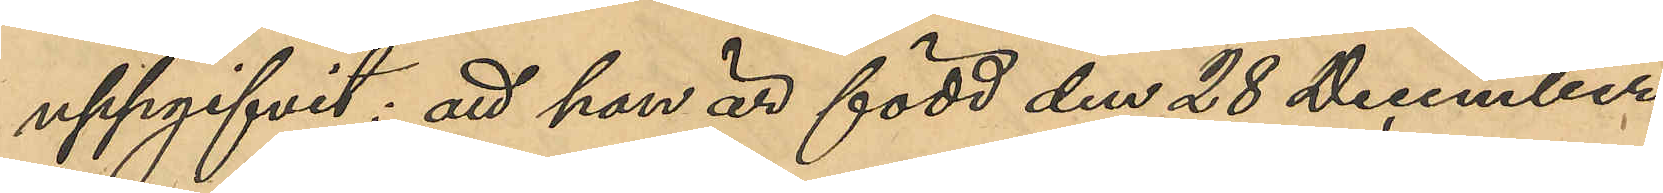uppgifvit: att han är född den 28 December
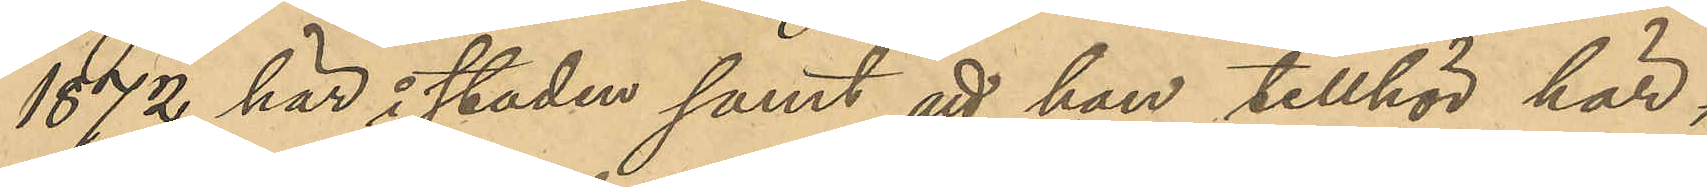1872 här i staden samt att han tillhör här¬
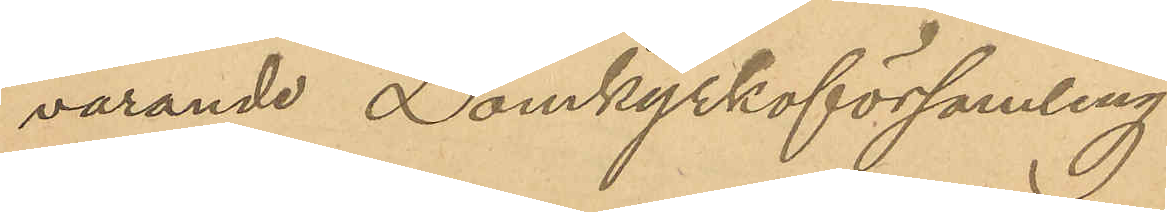varande Domkyrkoförsamling.
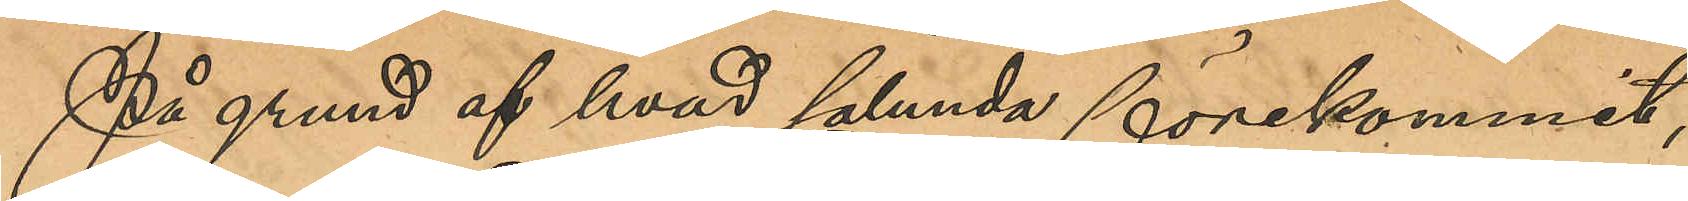På grund af hvad sålunda förekommit,
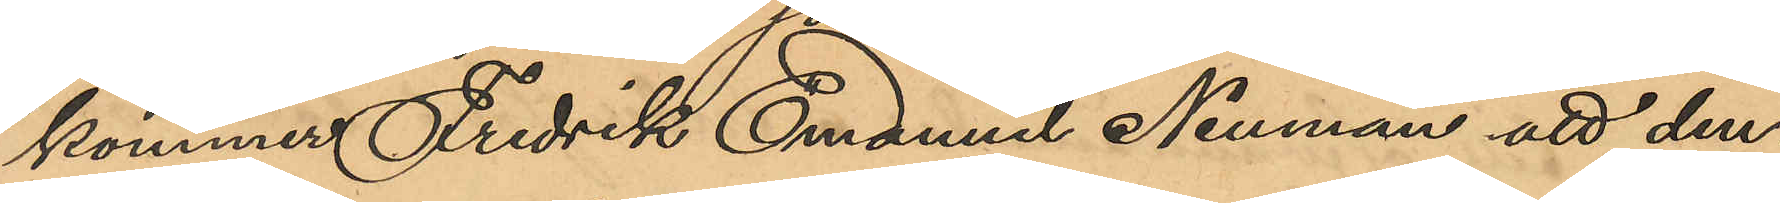kommer Fredrik Emanuel Neuman att den¬
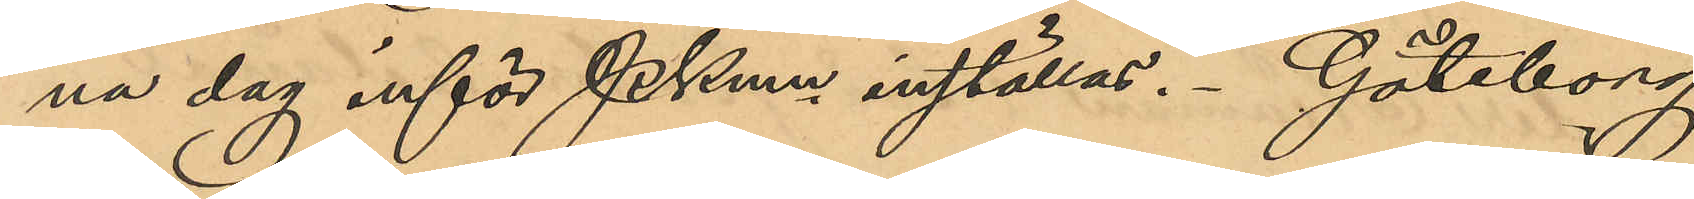na dag inför Pkmn inställas. Göteborg
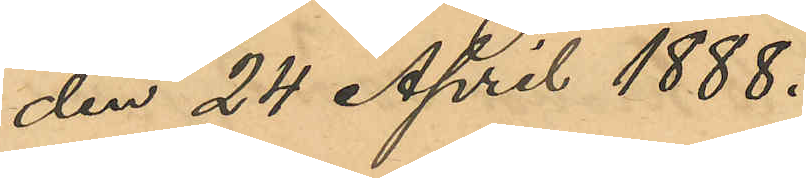den 24 April 1888.
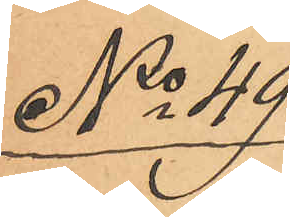No 49
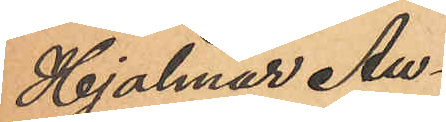Hjalmar Au¬
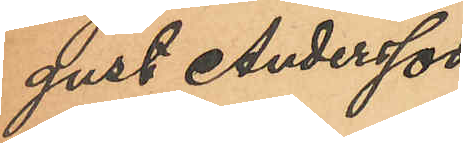gust Andersson
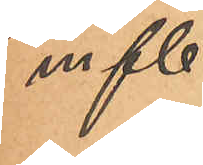m fl.
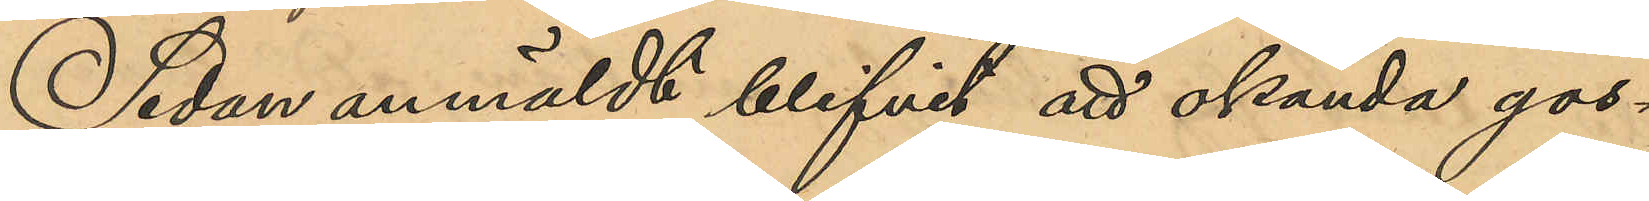Sedan anmäldt blifvit att okända gos¬
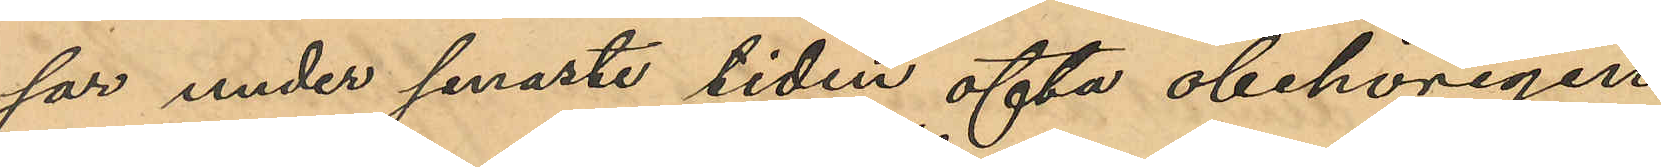sar under senaste tiden ofta obehörigen
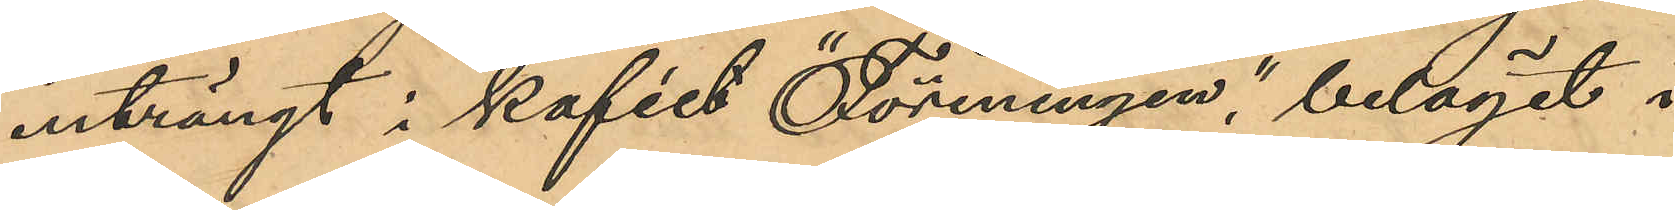inträngt i kaféet "Föreningen", beläget i
